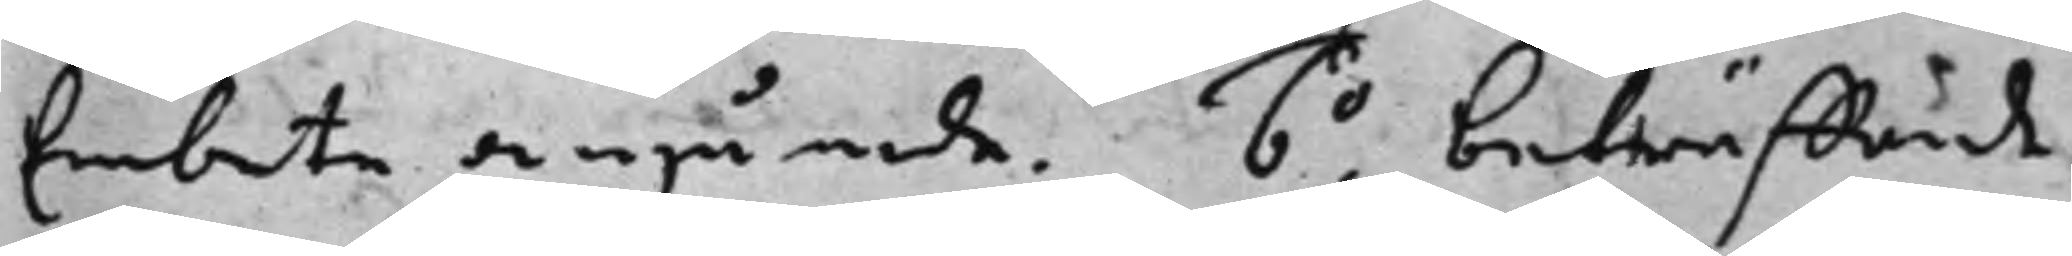Embete angående. 6o. beträffande 
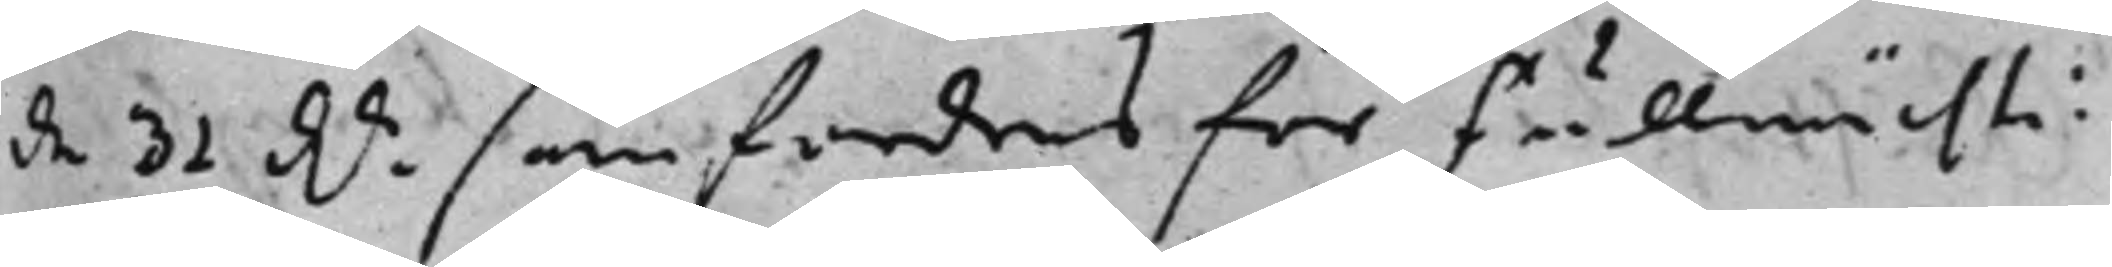de 31 d.r som fordras för Fullmächti¬ 
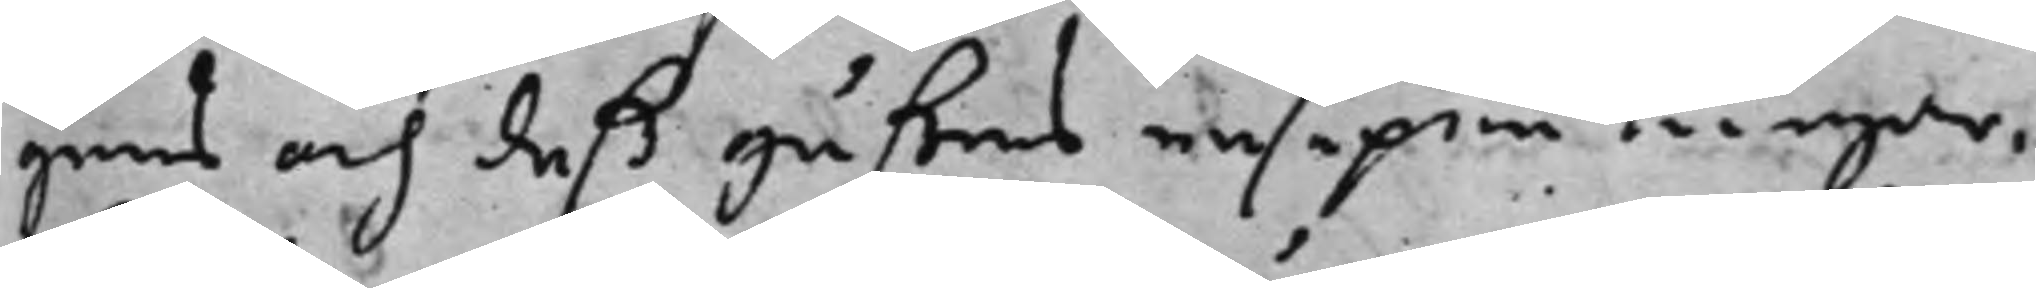gens och deß gåsses resepenningar,
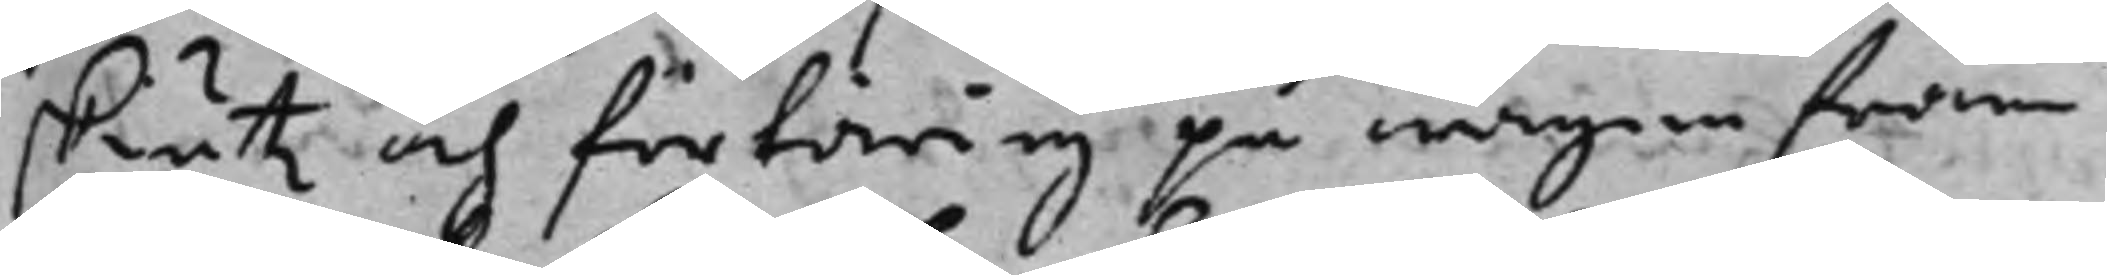skiutz och förtäring på wägen tram
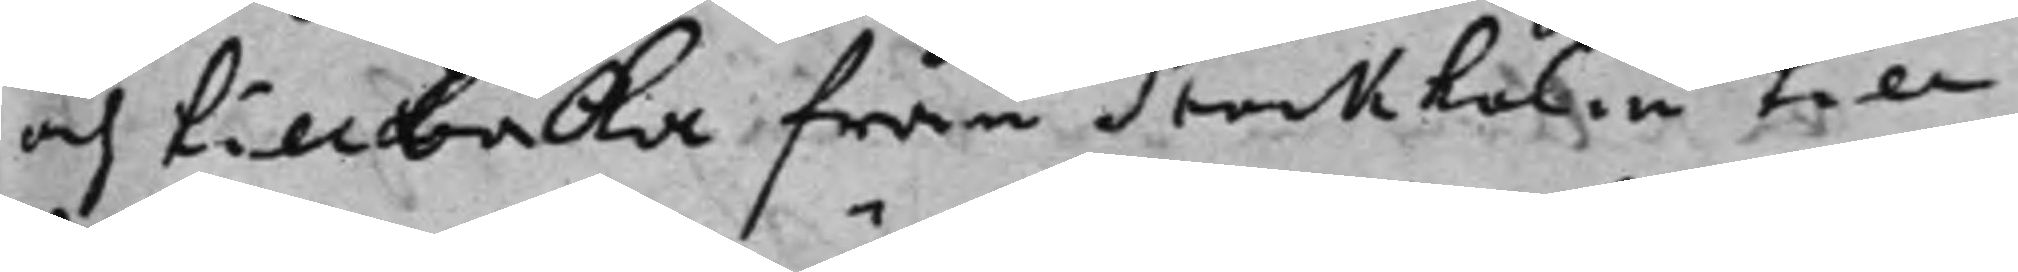och tillbaka från Stockholm till
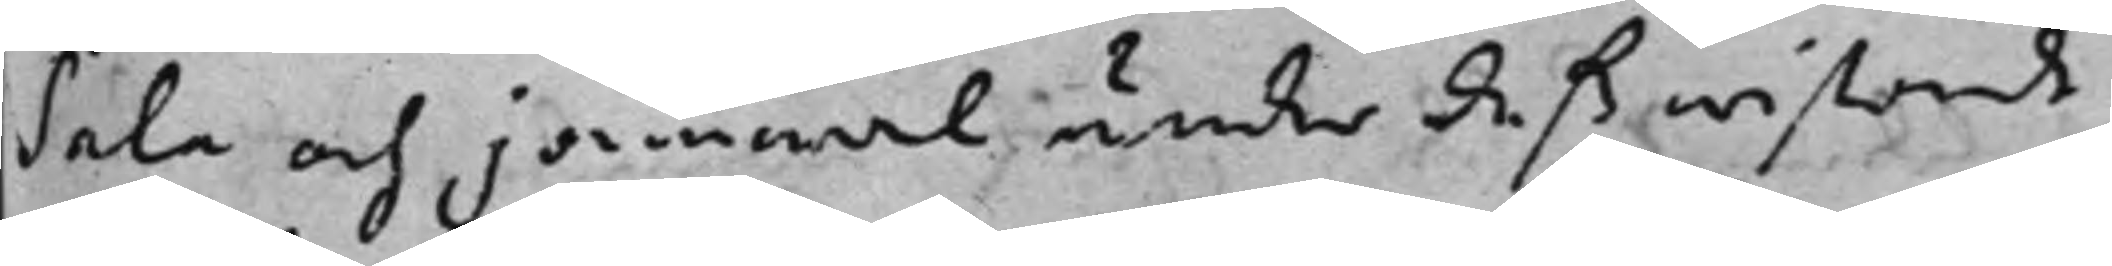Sala och jämwäl under deß wistande
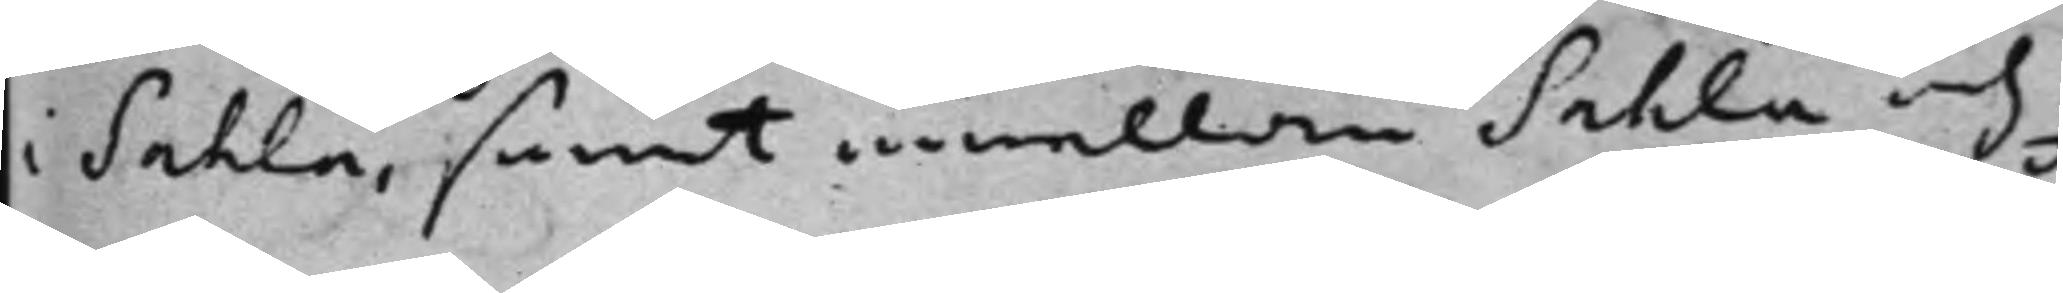i Sahla, samt emellan Sahla och
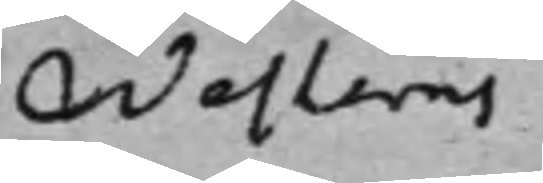Westerås
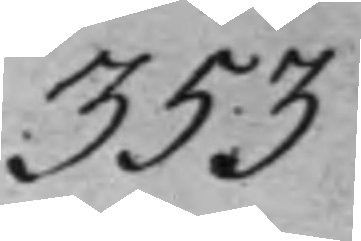353
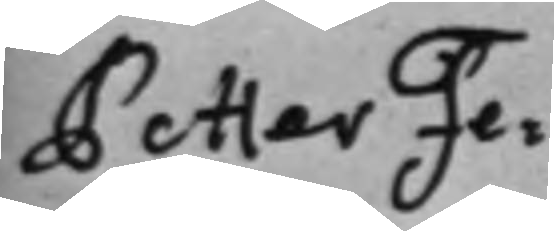Petter Fe¬
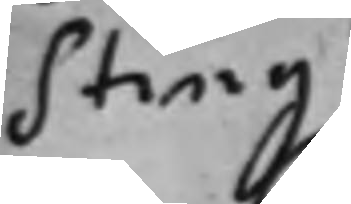sting
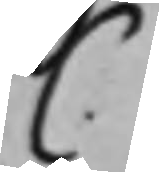C.
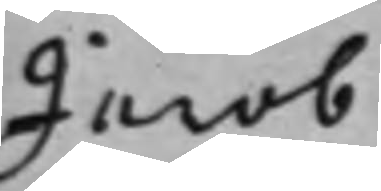Jacob
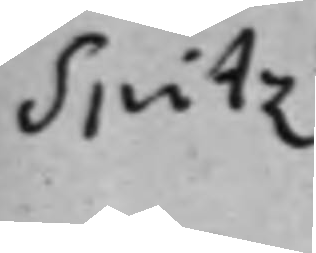Spitz 
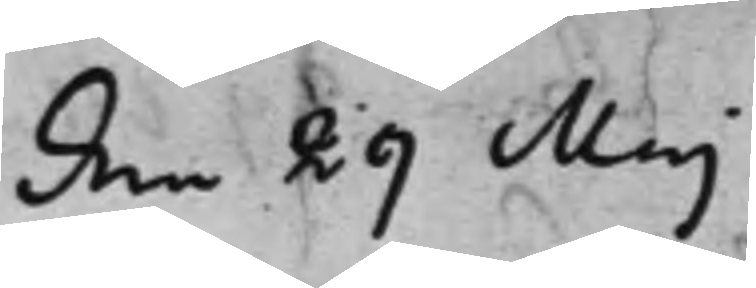den 29 Maj
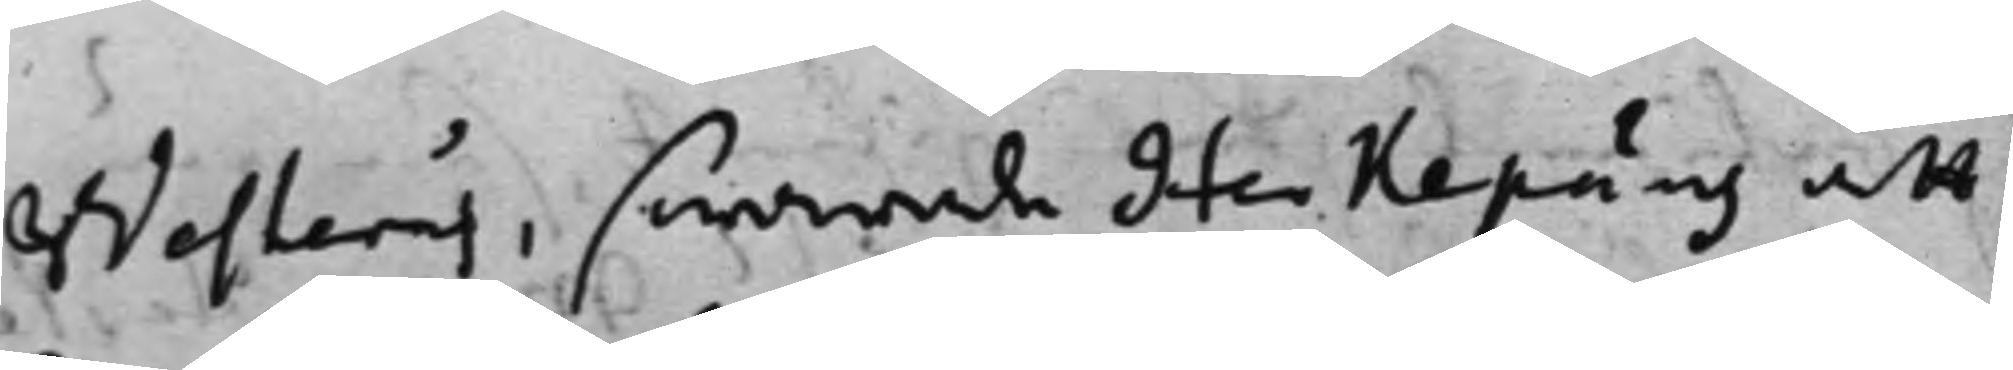Westerås, swarade Herkepäus att
